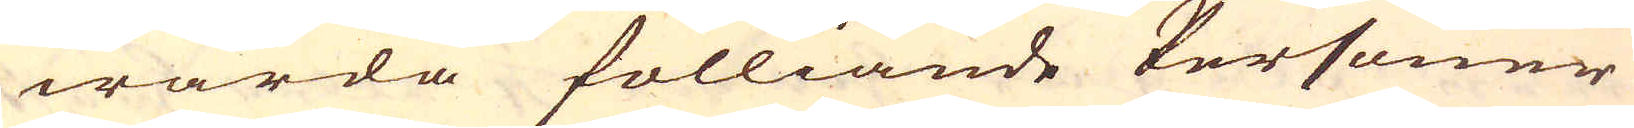warda fölliande Personer
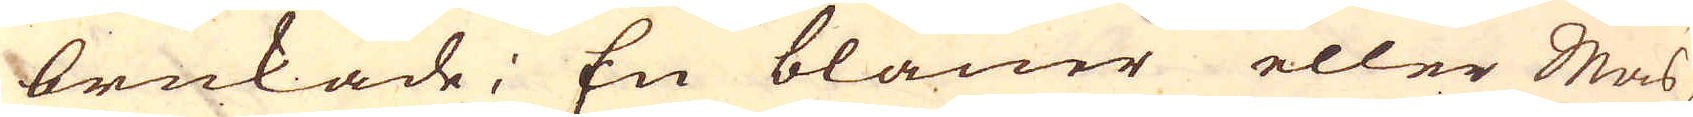brukade; En bläuer eller Mas-
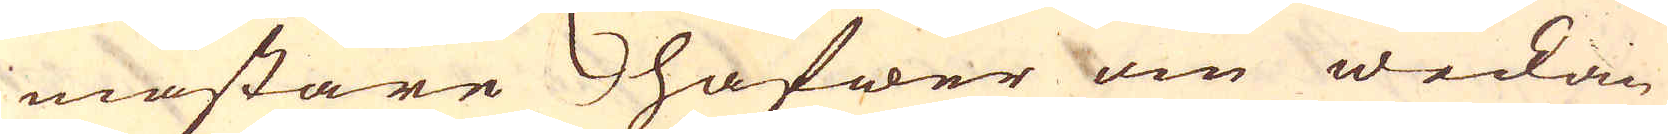mästare hafwer om weckan
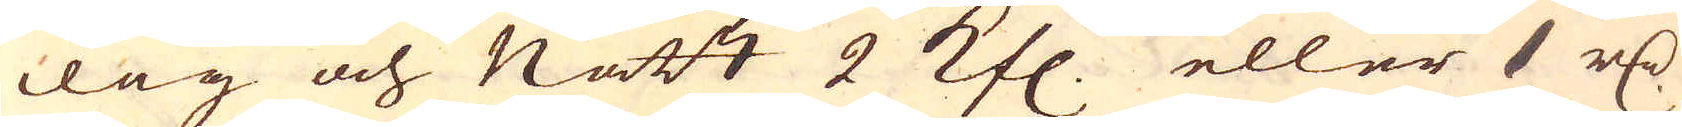dag och Natt 2 Kfl. eller 1 r:dr
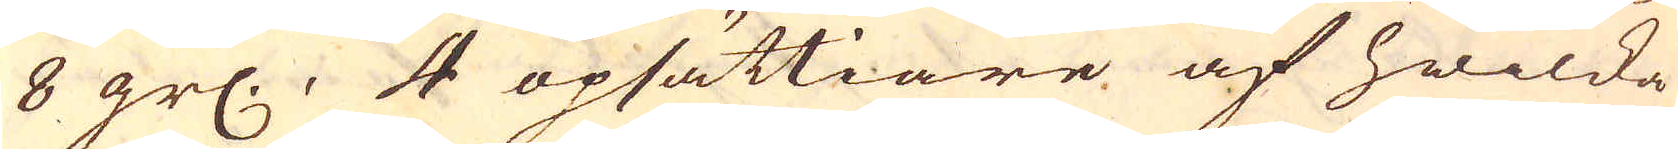8 gr:, 4 opsättiare af hwilka
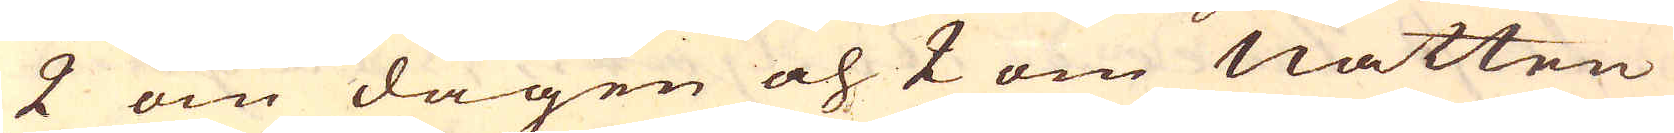2 om dagen och 2 om natten
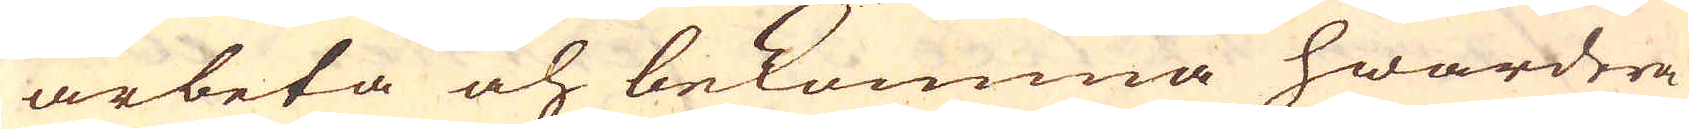arbeta och bekomma hwardera
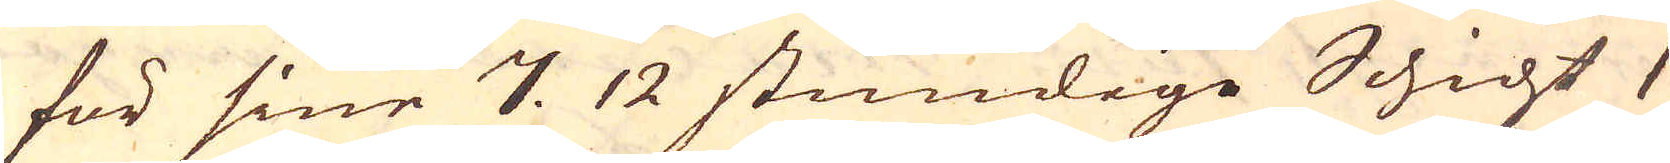för sine 7. 12 stundige Schicht 1
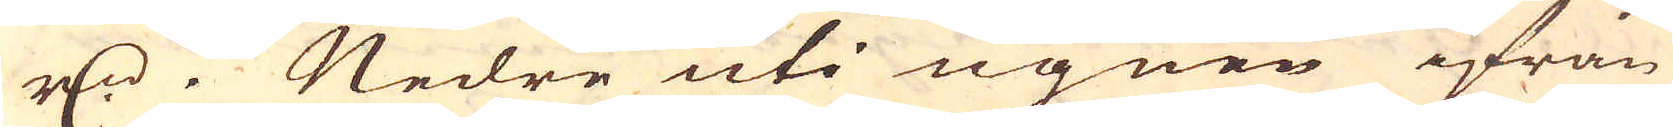r:dr. Nedre uti ugnen ifrån
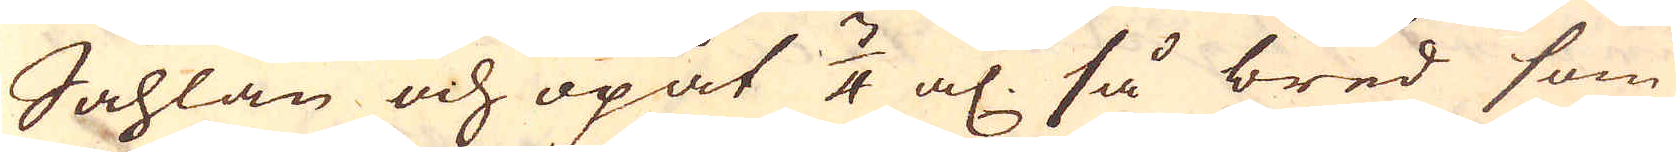Såhlan och opåt 3/4 al, så bred som
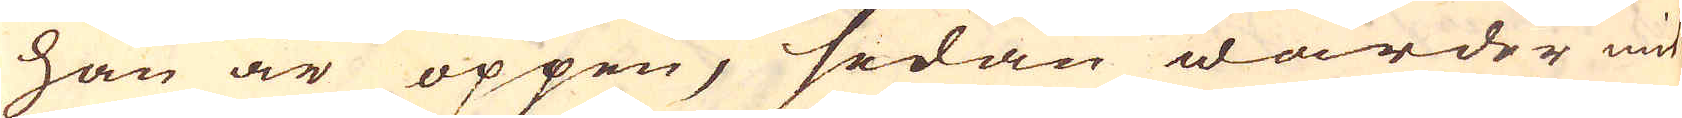han är öppen, sedan warder mit
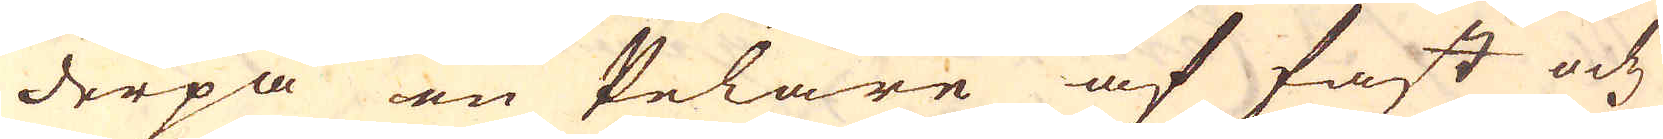derpå en Pelare af fast och
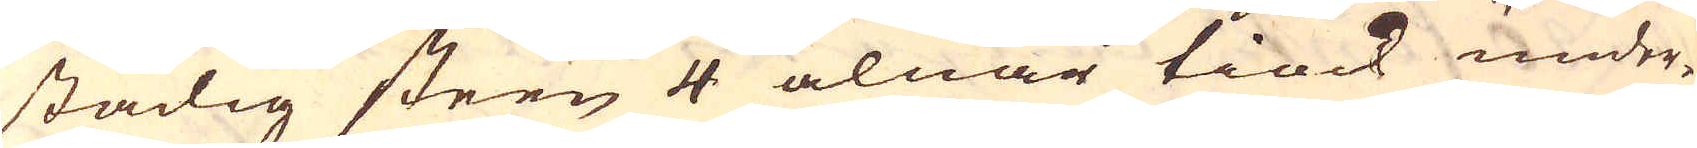stadig steen 4 alnar tiock under-
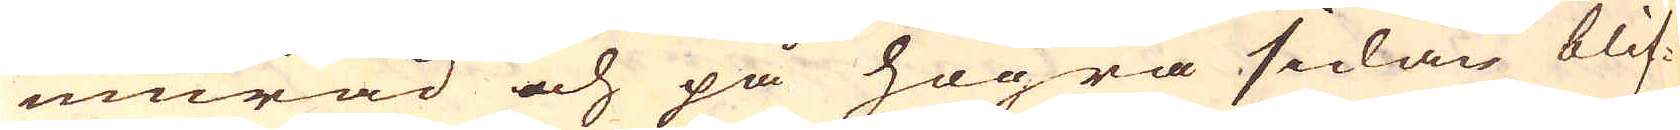murad och på högra sedan blif-
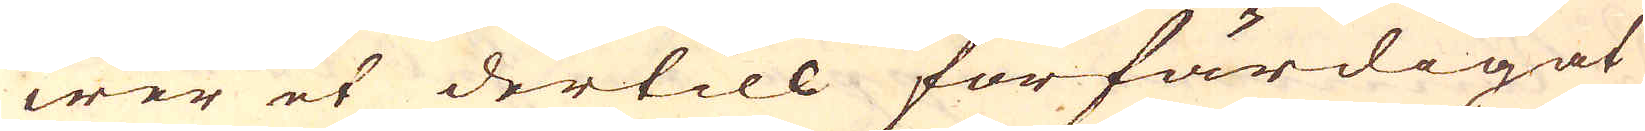wer et dertill förfärdigat
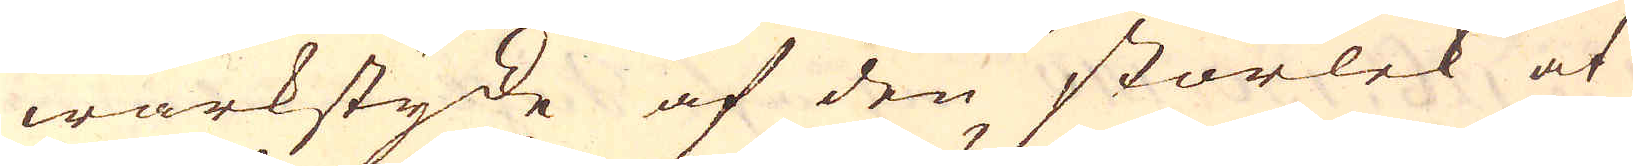wärkstycke af den storlek at
